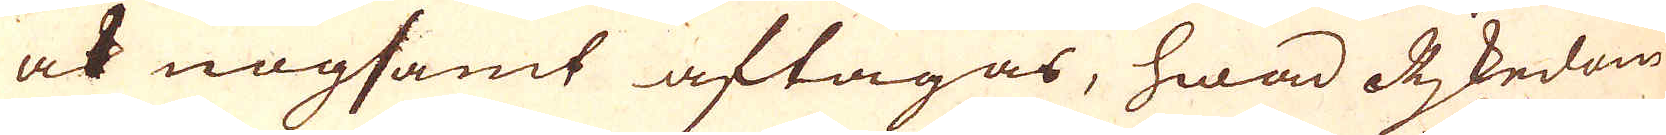ock nogsamt aftagas, hwad Rjkedom
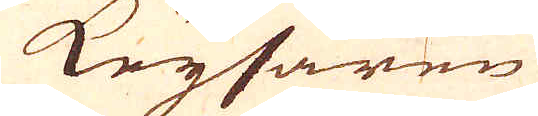Keysaren
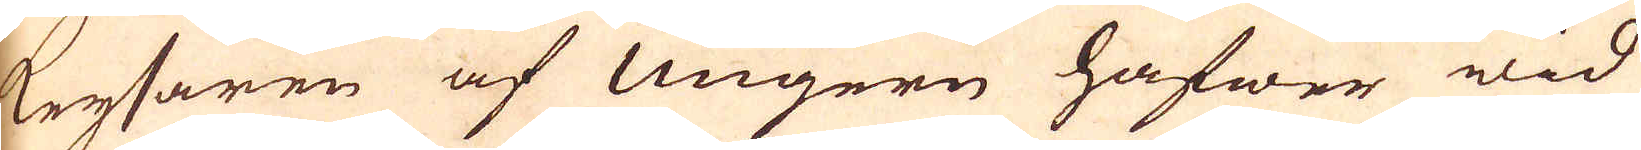Keysaren af Ungern hafwer wid
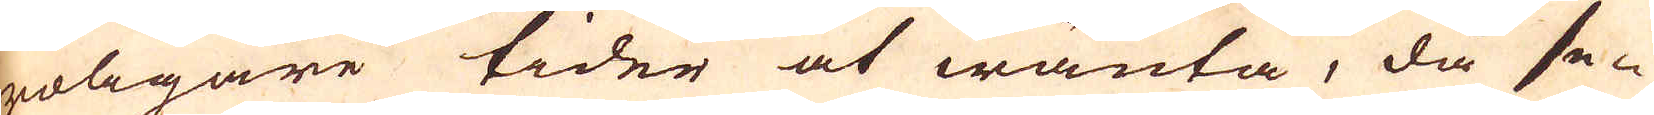roligare tider at wänta, då se-
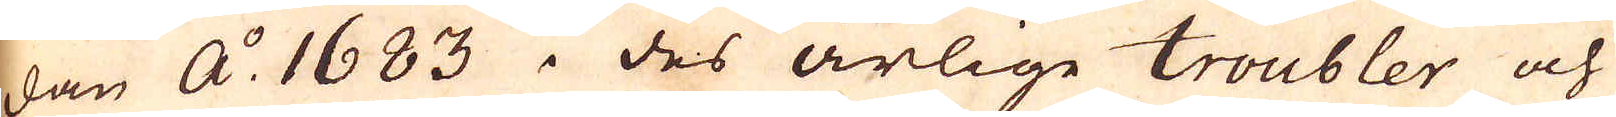dan A:o 1683 i des årlige troubler och
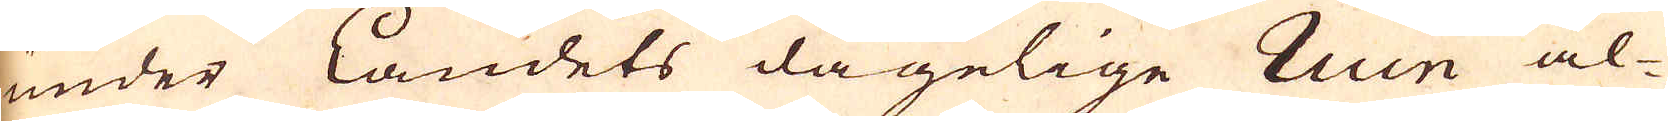under Landets dagelige Ruin al-
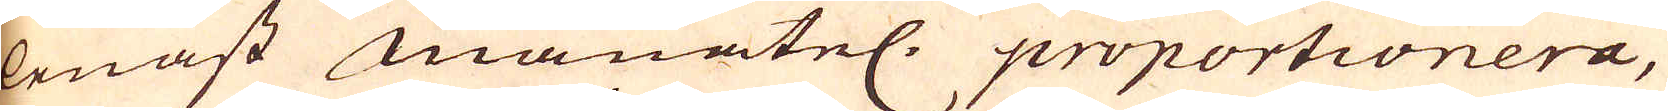lenast månatel: proportionera,
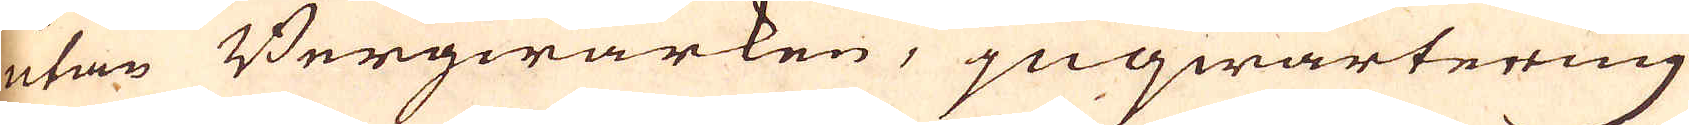utan Bergwärken, jnqwartering
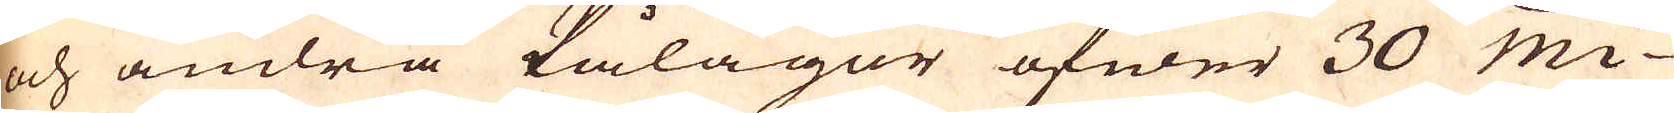och ändra Pålagor öfwer 30 Mi-
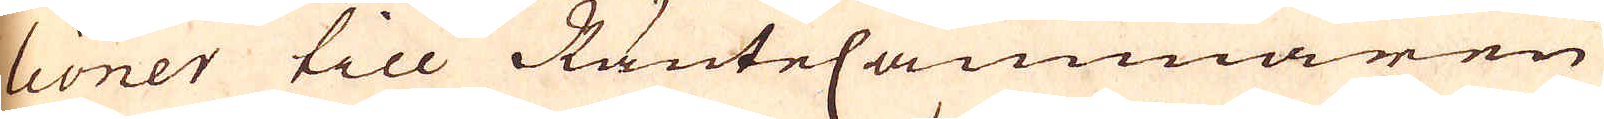lioner till RänteCammaren
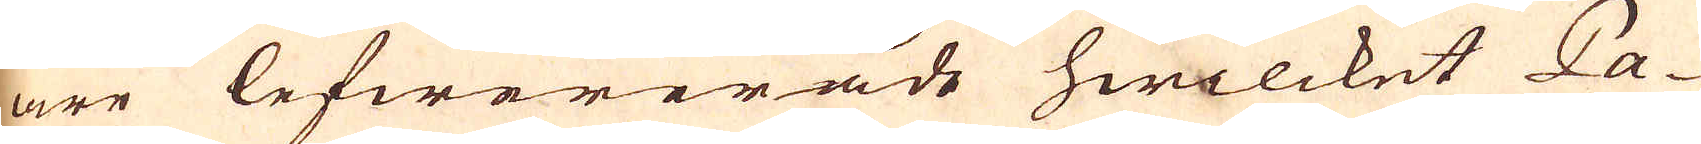äre lefwererade hwilcket Pa-
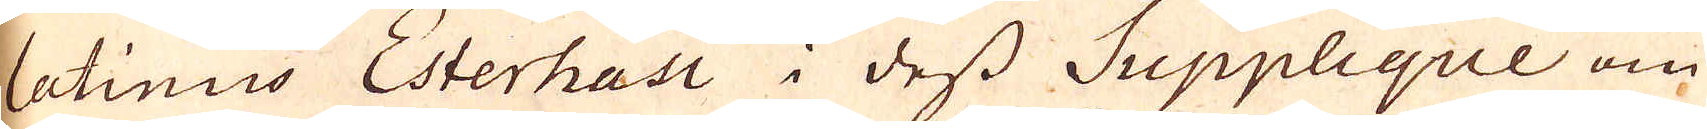latinus Esterhasi i dess Supplieque om
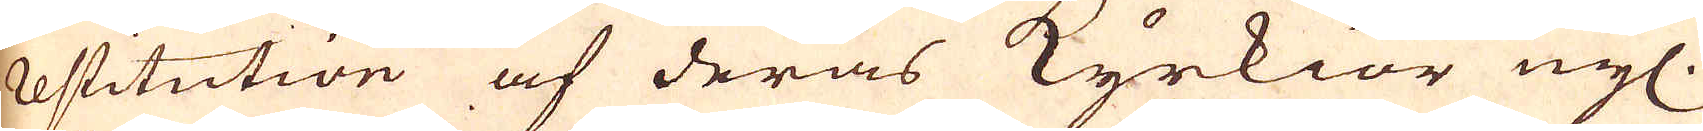restitution af deras Kyrkior nyl.
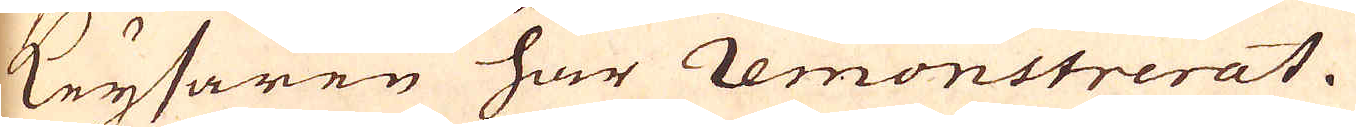Keysaren har remonstrerat.
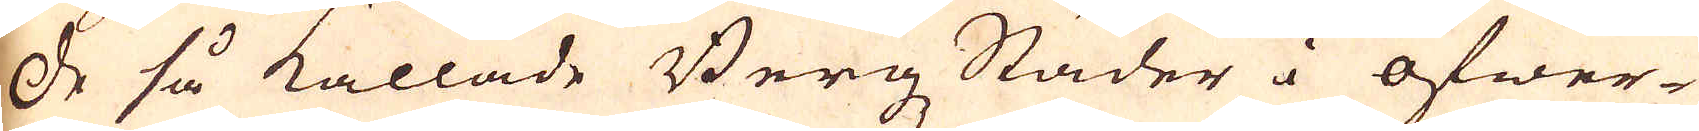De så kallade Bergz Städer i öfwer-
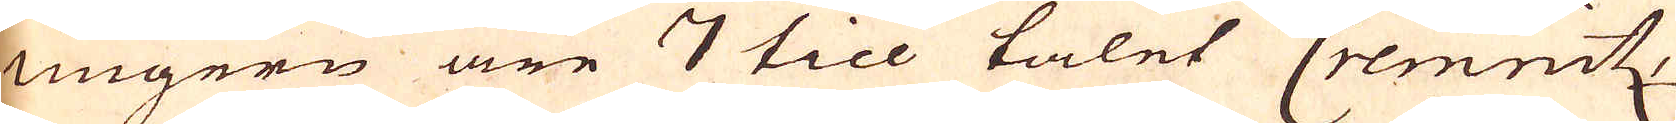Ungern äre 7 till talet Cremnitz,
